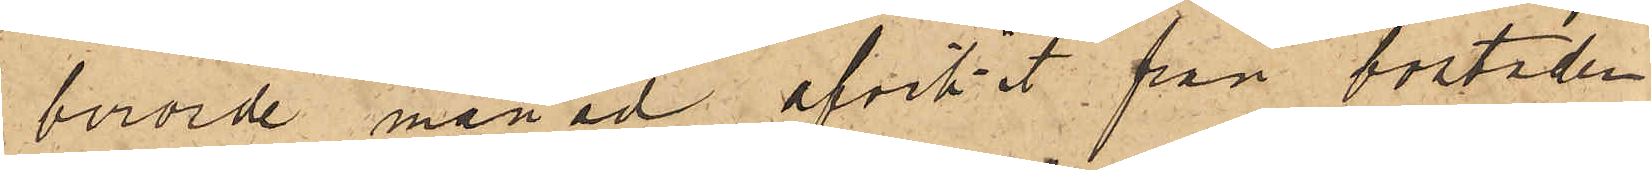berörde månad afvikit från bostaden.
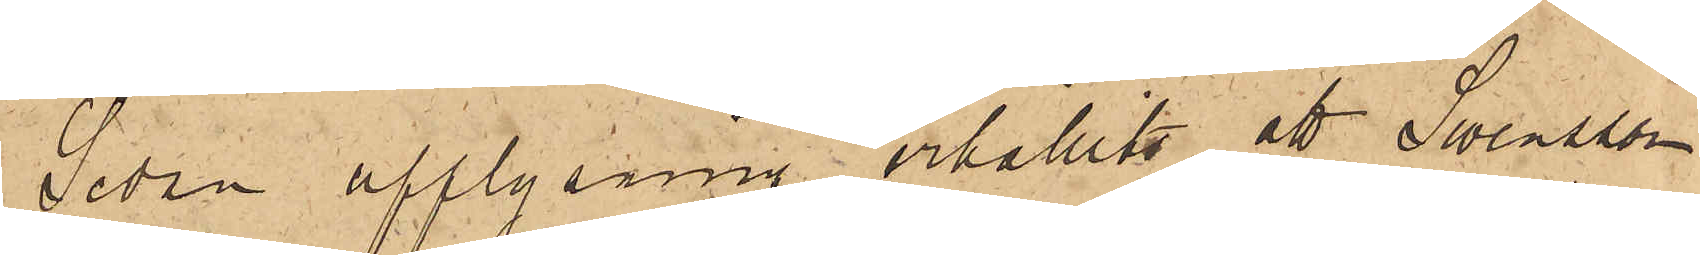Sedan upplysning erhållits, att Swensson
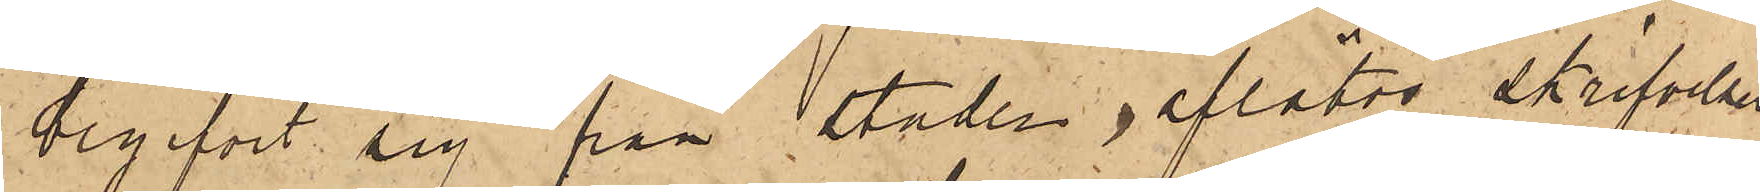begifvit sig från staden, aflåtos skrifvelser
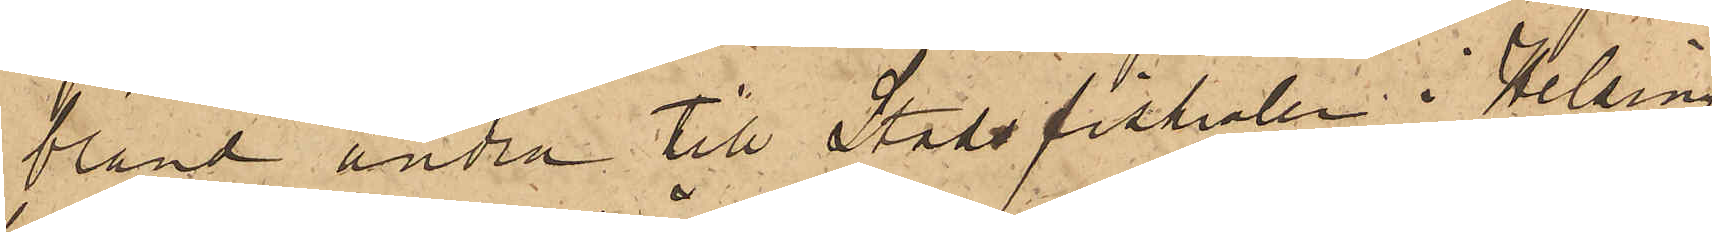bland andra till Stadsfiskalen i Helsing¬
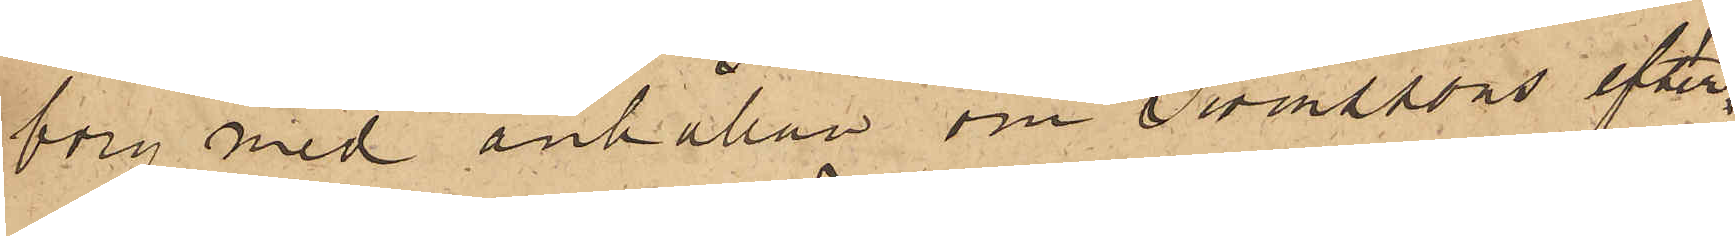borg med anhållan om Swenssons efter¬
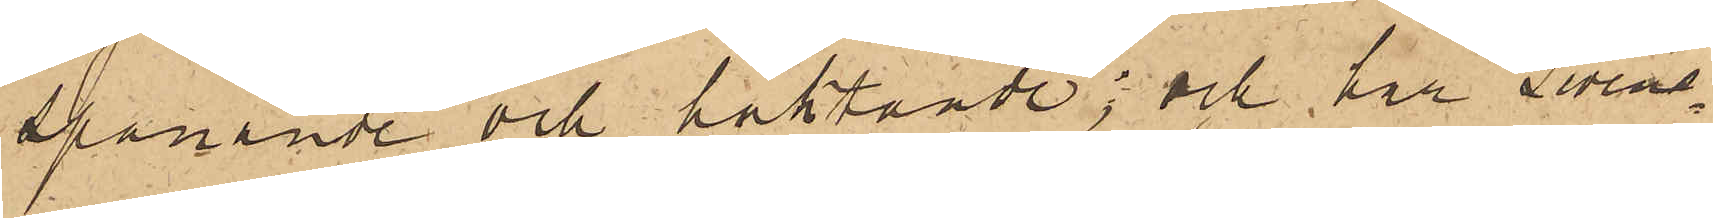spanande och häktande; och har Swens¬
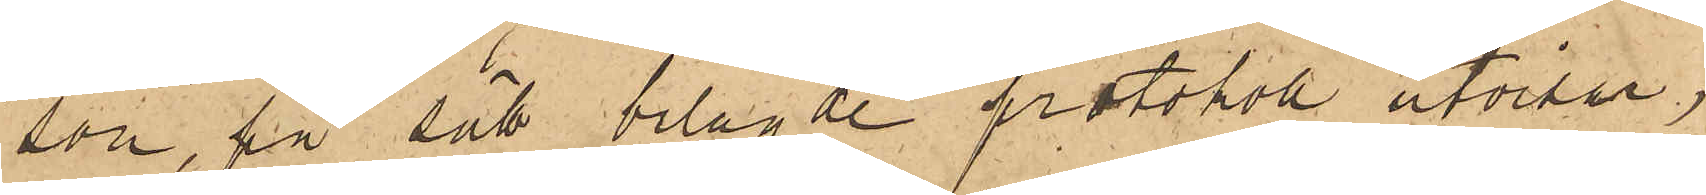son, på sätt bilagde protokoll utvisar,
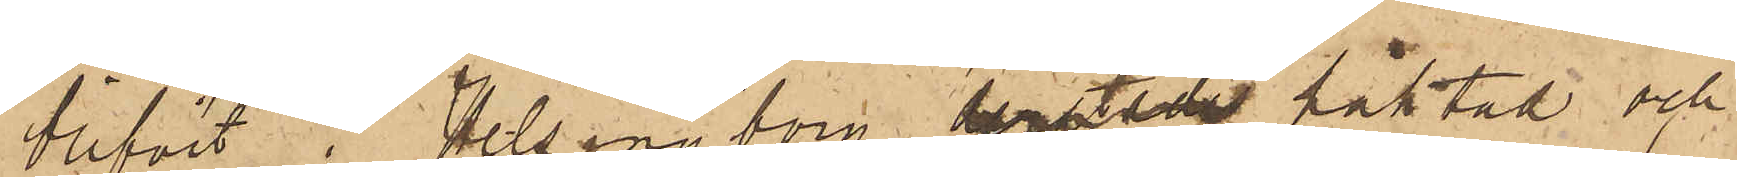blifvit i Helsingborg derstädes häktad och
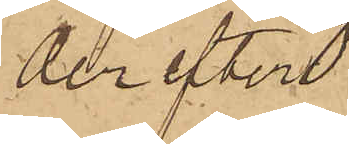derefter
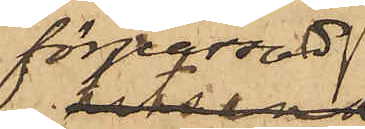förpassad
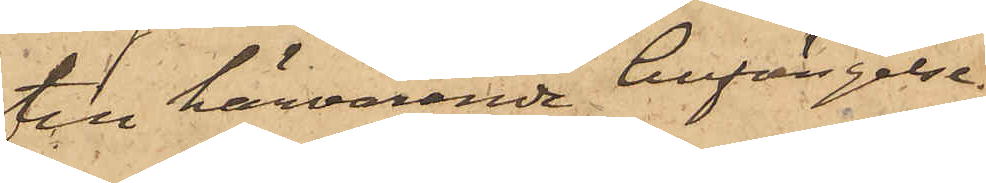till härvarande Cellfängelse.
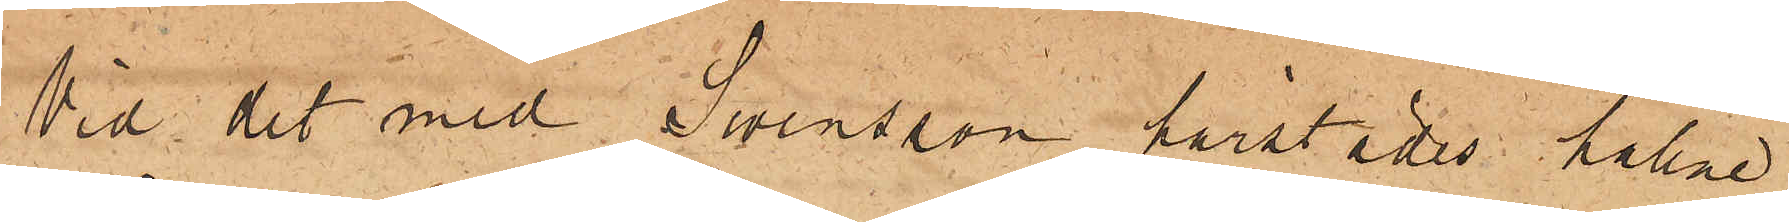Vid det med Swensson härstädes hållne
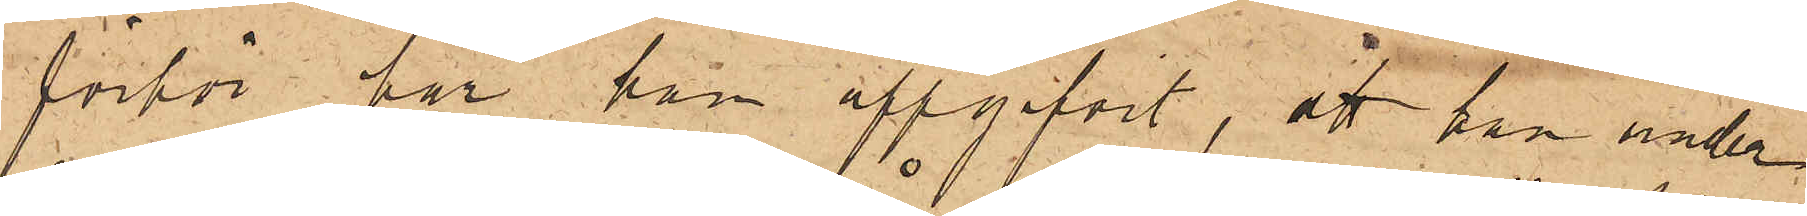förhör, har han uppgifvit, att han under
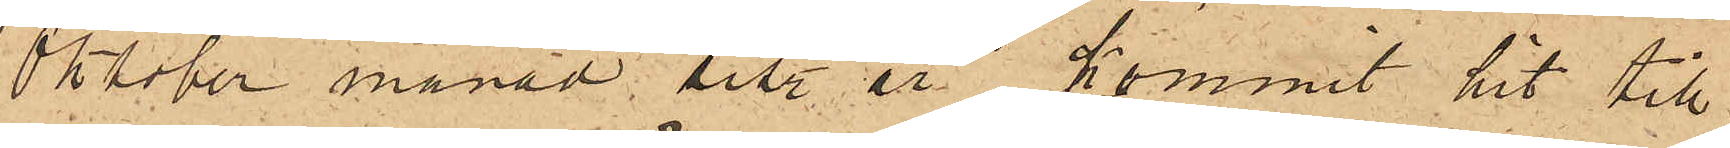Oktober månad sist. år kommit hit till
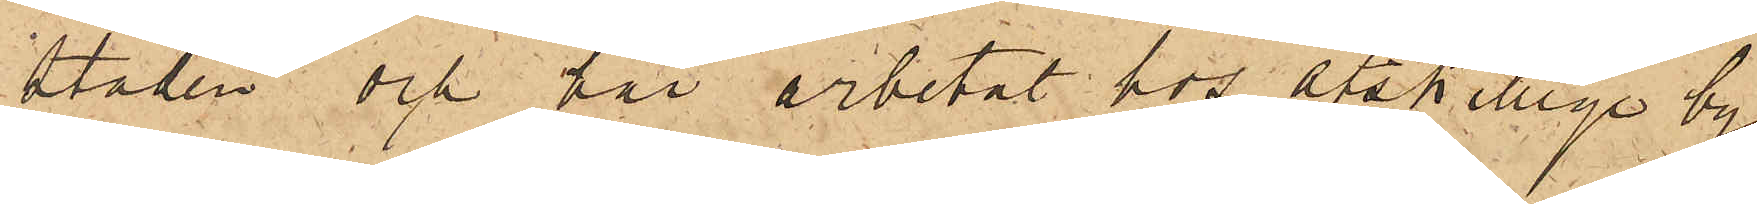staden och har arbetat hos åtskillige bygg¬
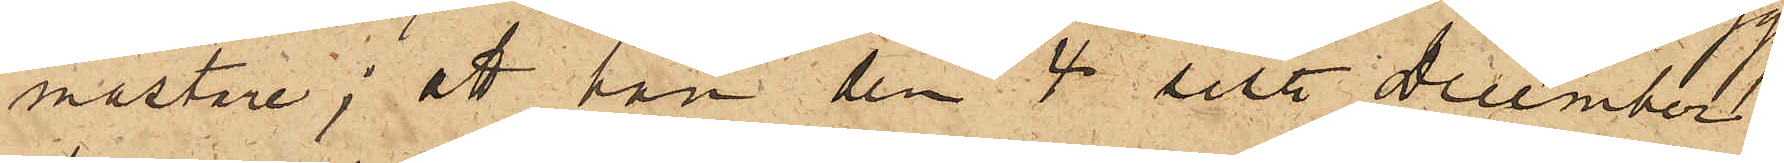mästare; att han den 4 sist. December
